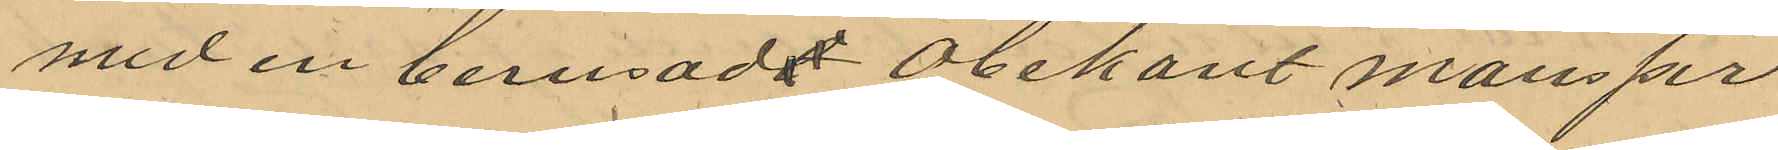med en berusadt obekant mansper
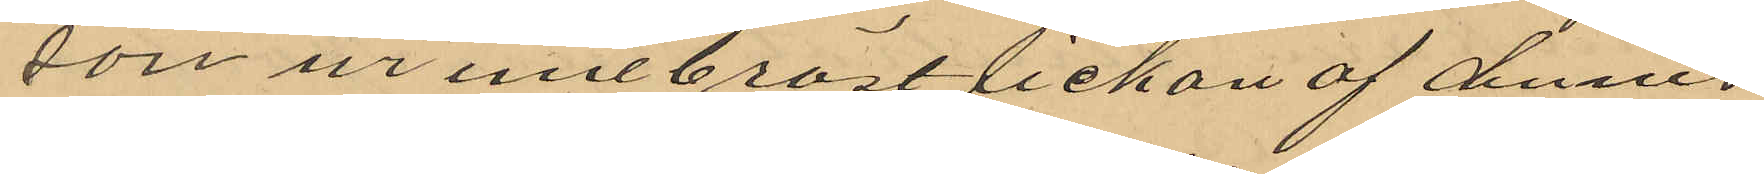son ur innerbrösttickan af dennes
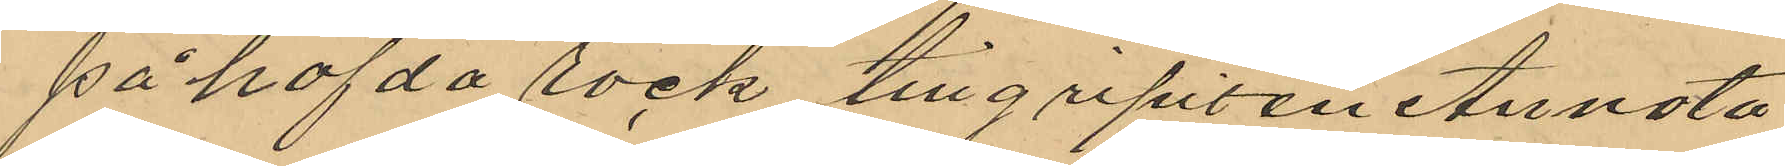påhafda rock tillgripit en Annota
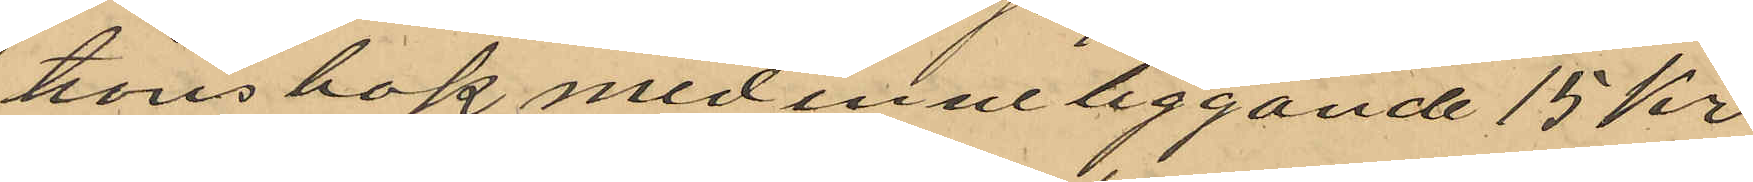tionsbok med inneliggande 15 kr
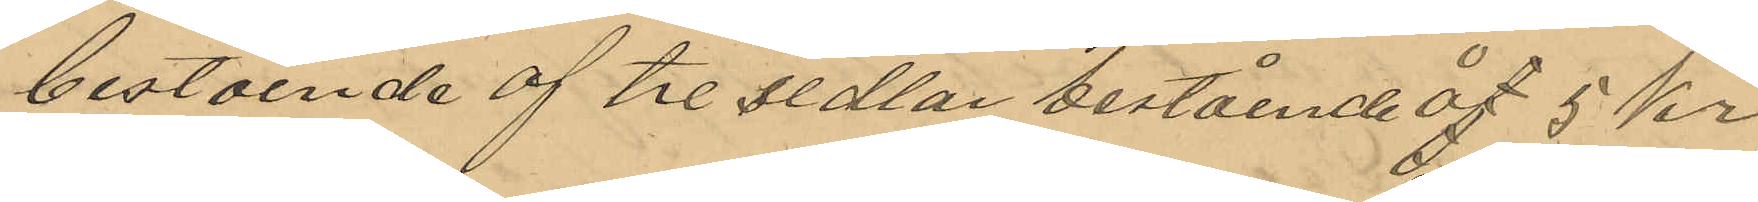bestående af tre sedlar bestående af 5 kr
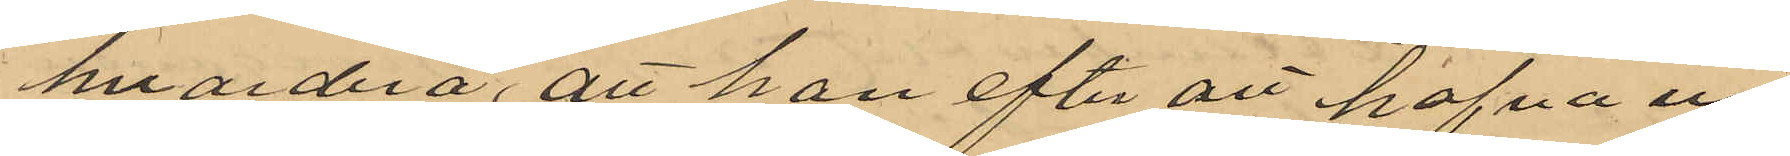hvardera, att han efter att hafva ur
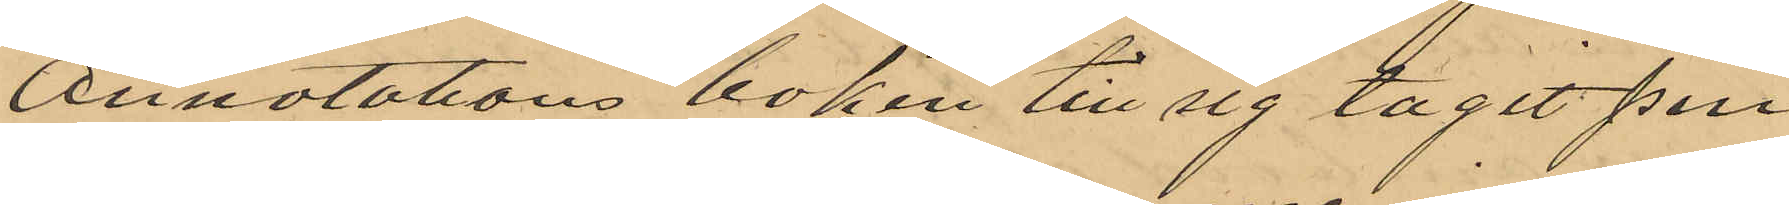Annotations boken till sig tagit pen¬
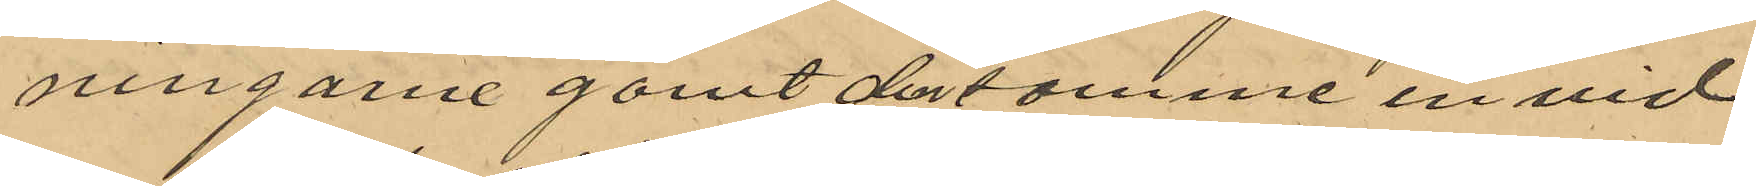ningarne gömt densamme in vid
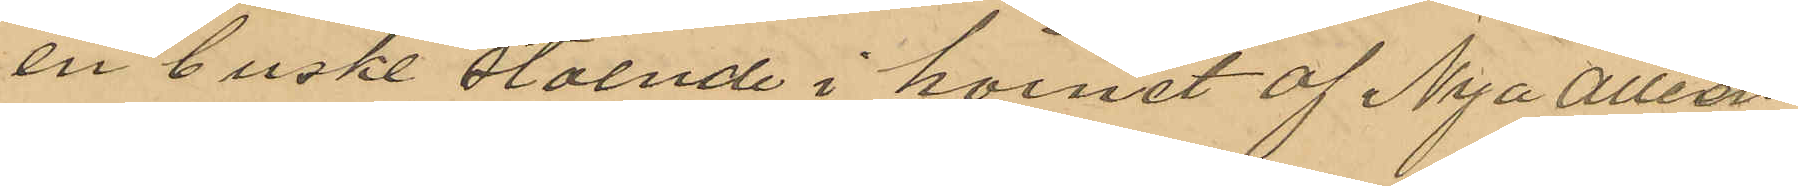en buske stående i hörnet af Nya Allén
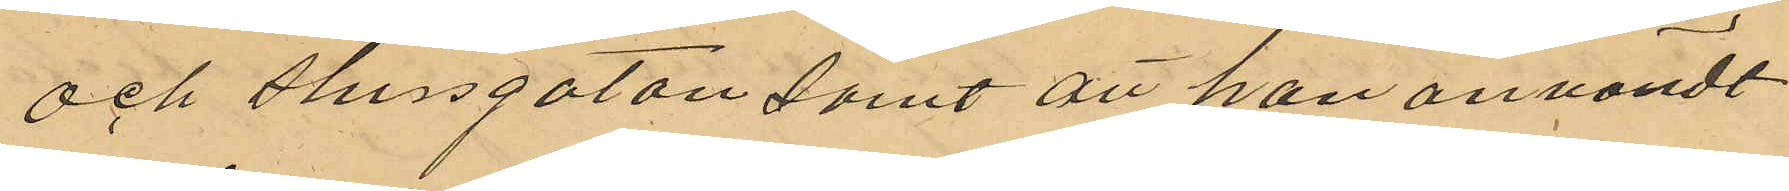och Slussgatan samt att han användt
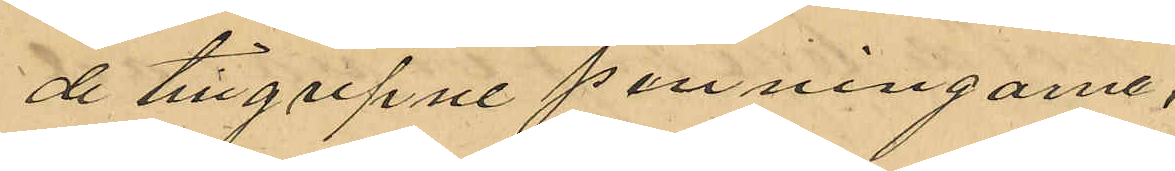de tillgripne penningarne.
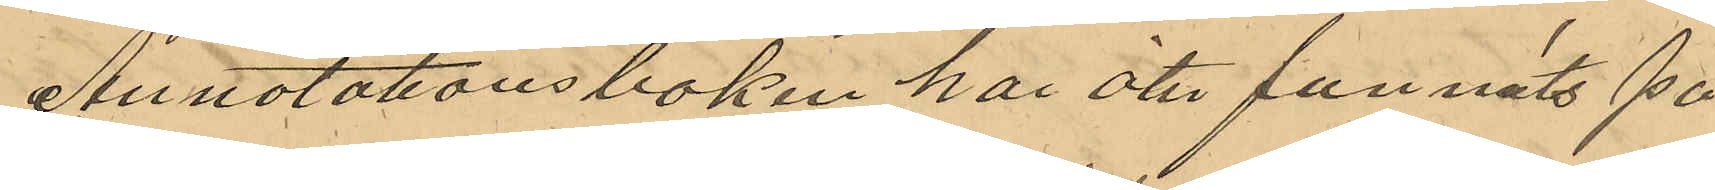Annotationsboken har åter funnits på
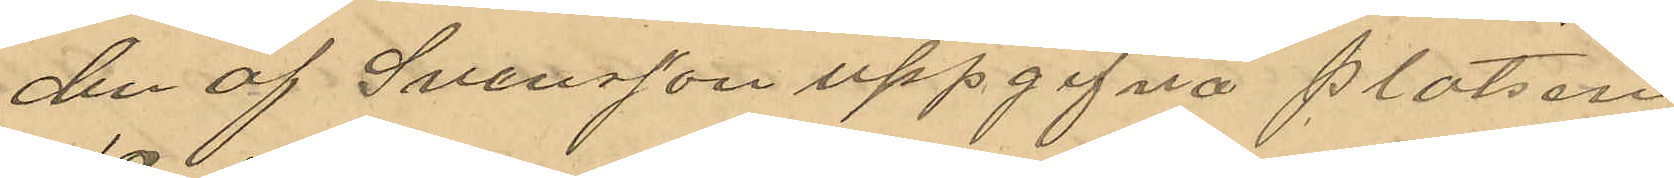den af Svensson uppgifna platsen
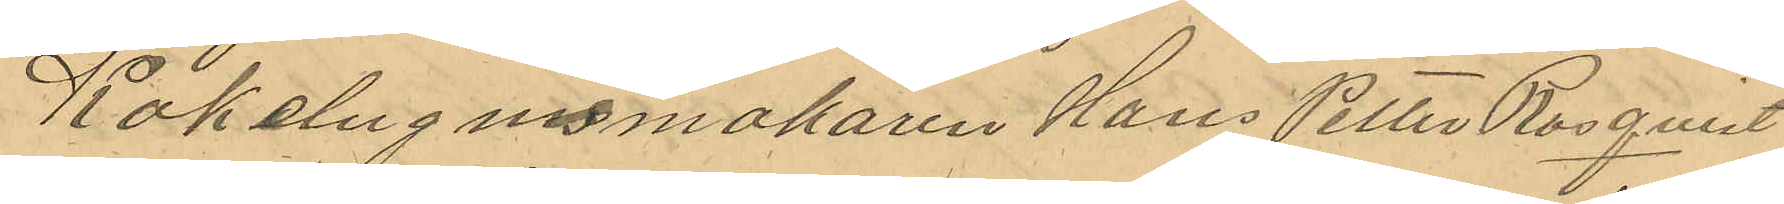Kakelugnsmakaren Hans Petter Rosqvist
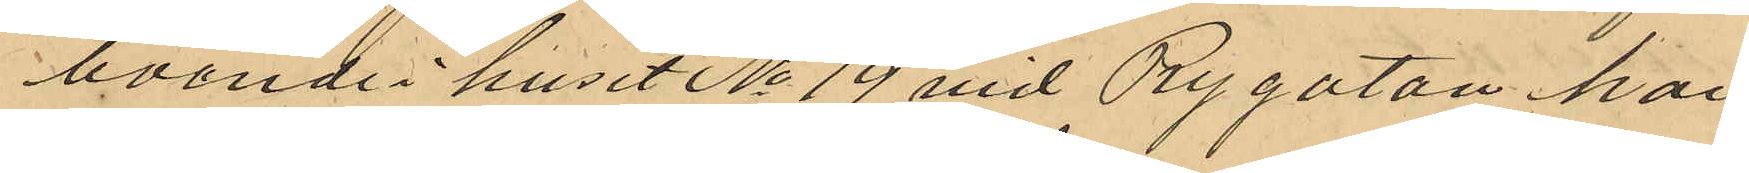boende i huset No 19 vid Rygatan har
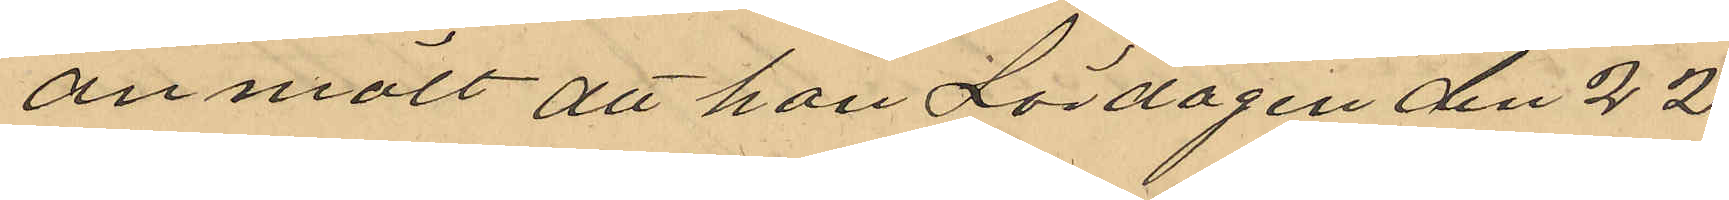anmält att han Lördagen den 22
